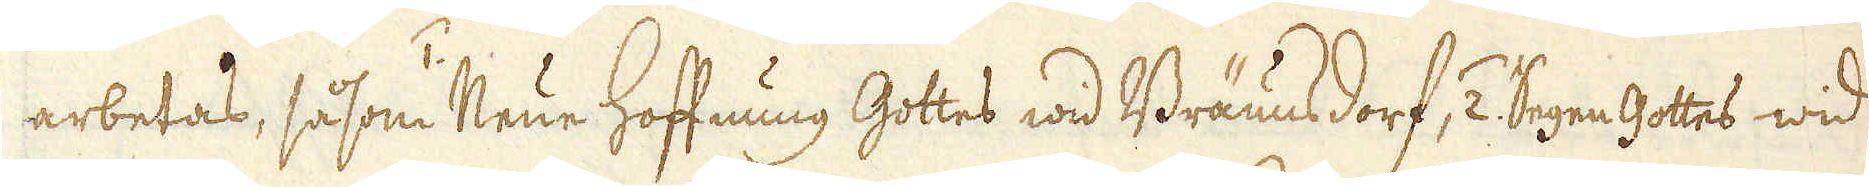arbetas, såsom /1. Neue Hoffnung Gottes wid Bräunsdorf, /2. Segen Gottes wid
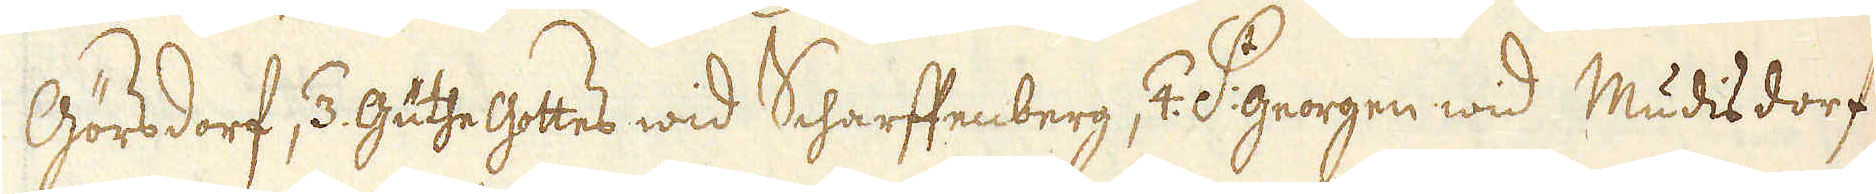Görsdorf, /3. Guthe Gottes wid Scharffenberg, /4. S:t Georgen wid Mudisdorf,
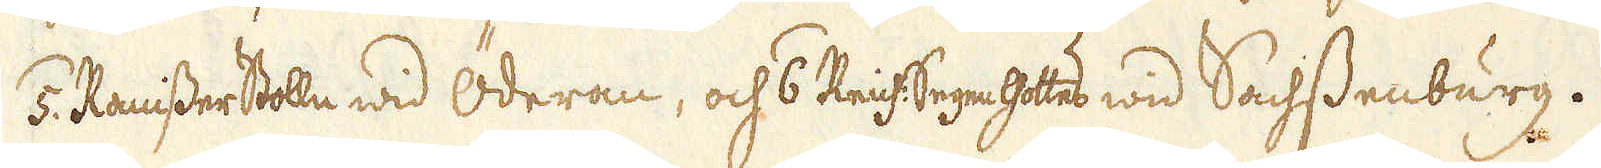/5. Ranisser Stolle wid Öderen, och /6. Reich:Segen Gottes wid Sachssenburg.
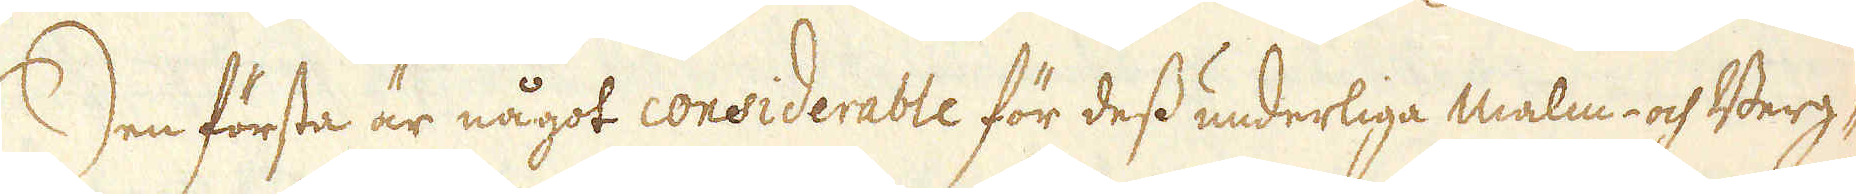Den första är något considerable för dess underliga Malm- och Berg-
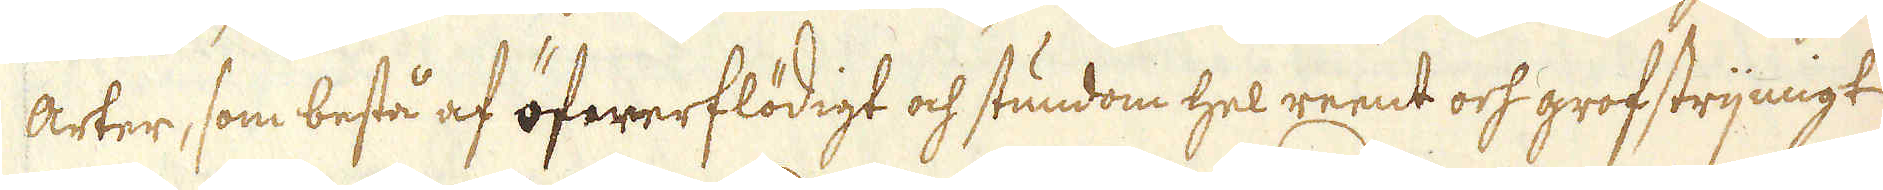arter, som bestå af öfwerflödigt och stundom hel reent och grofstrijmigt
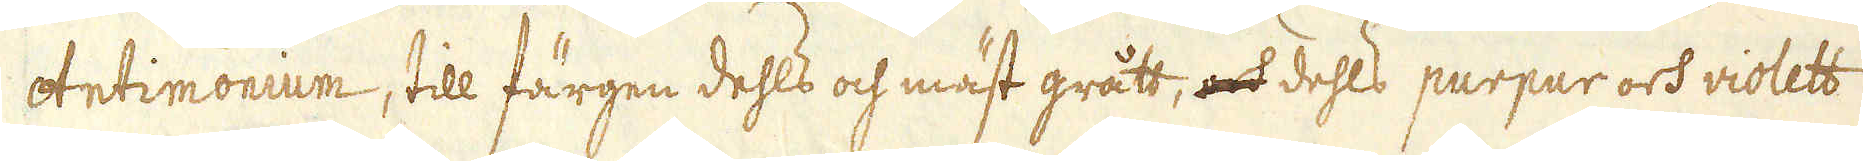Antimonium, till färgen dehls och mäst grått, och dehls purpur och violett
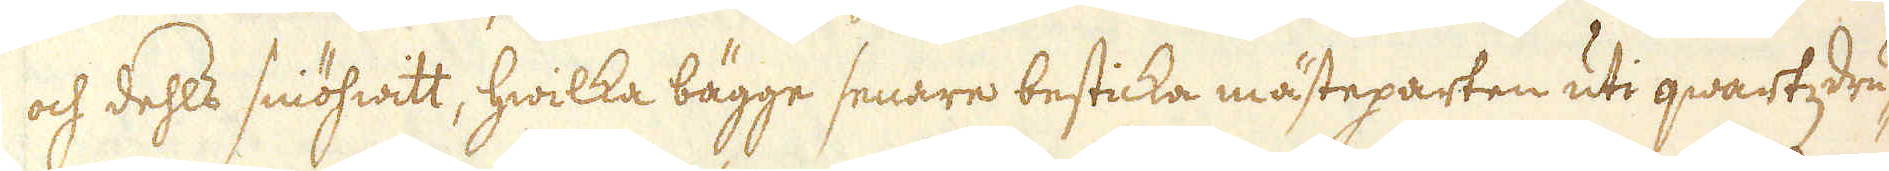och dehls sniöhwitt, hwilka bägge senare besticka mästeparten uti qwartzdru-
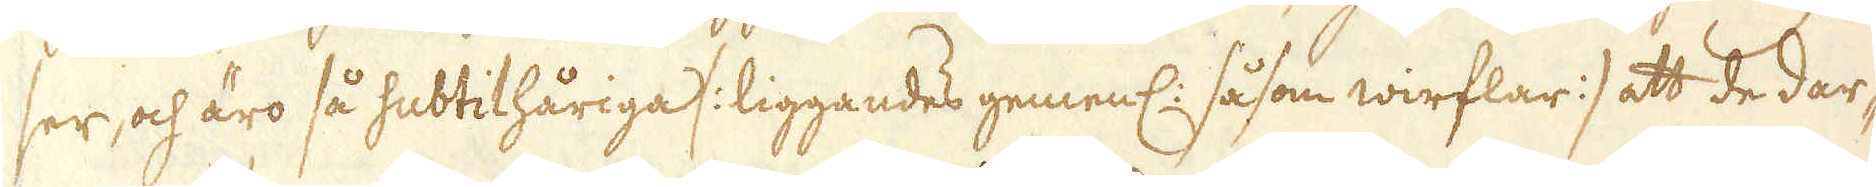ser, och äro så subtilhåriga /: liggandes gemenl: såsom wirflar :/ att de dar-
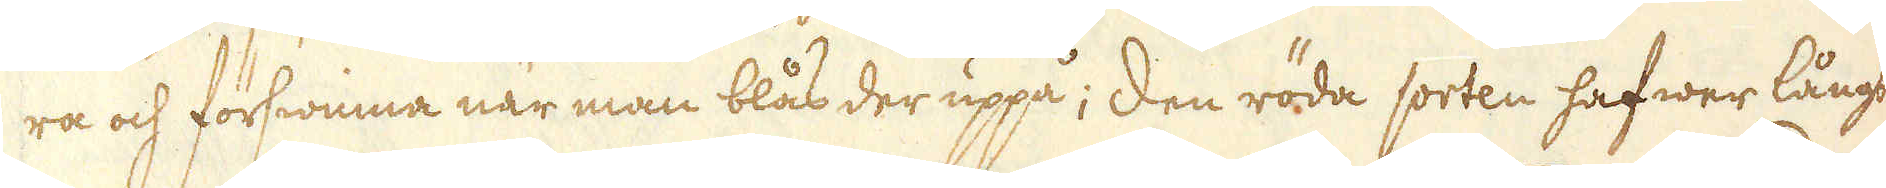ra och förswinna när man blås der uppå; Den röda sorten hafwer långt
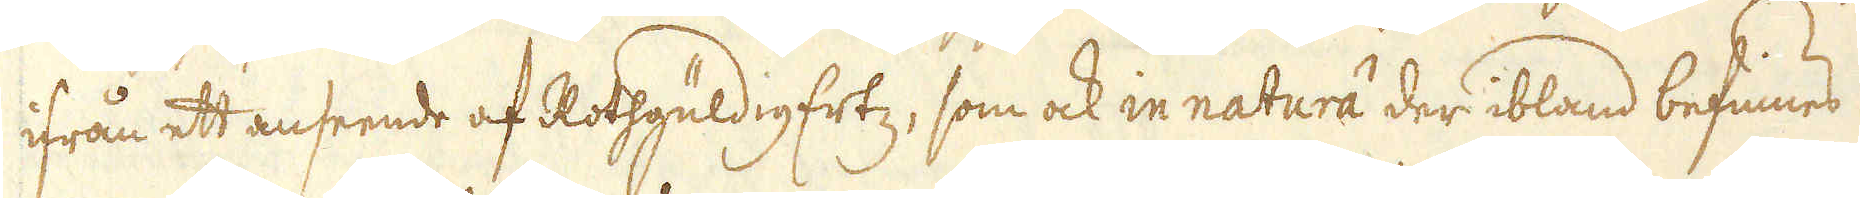ifrån ett anseende af Rothgüldig Ertz, som ock in natura der ibland befinnes
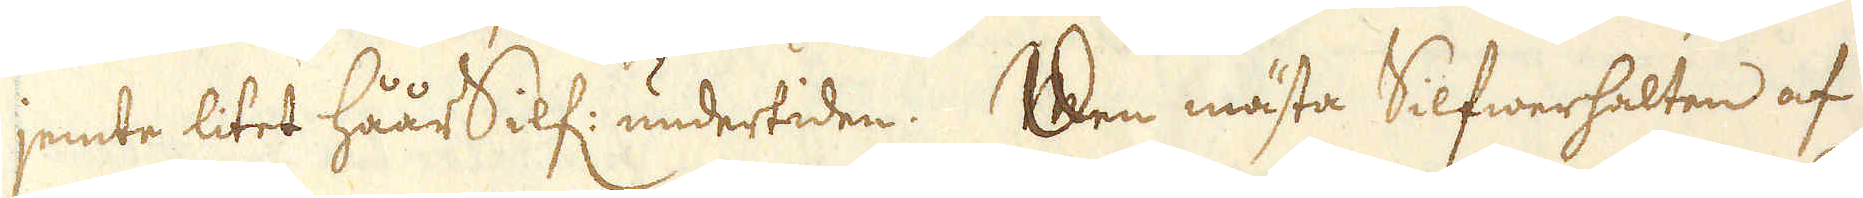jemte litet håår Silf: undertiden. Den mästa Silfwerhalten af
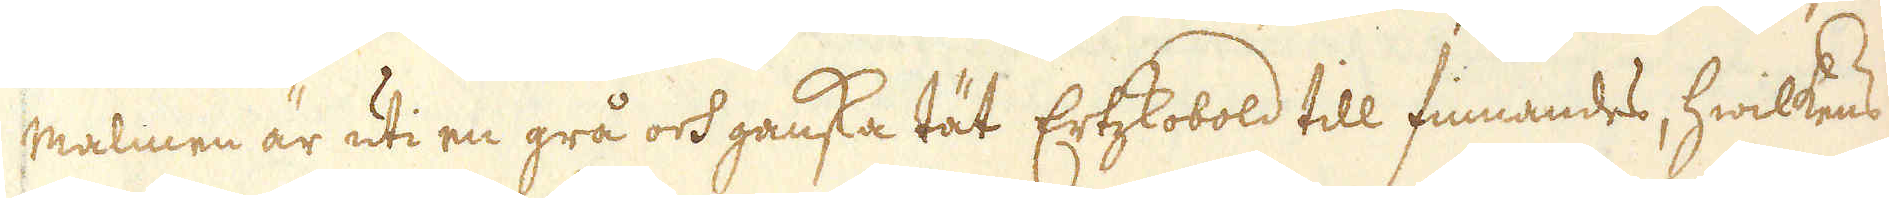malmen är uti en grå och ganska tät Ertzkobold till finnandes, hwilkens
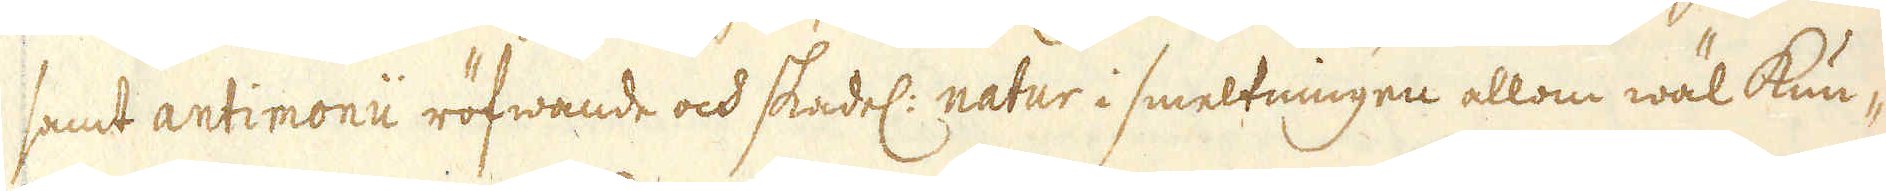samt antimonii röfwande och skadel: natur i smeltningen allom wäl kun-
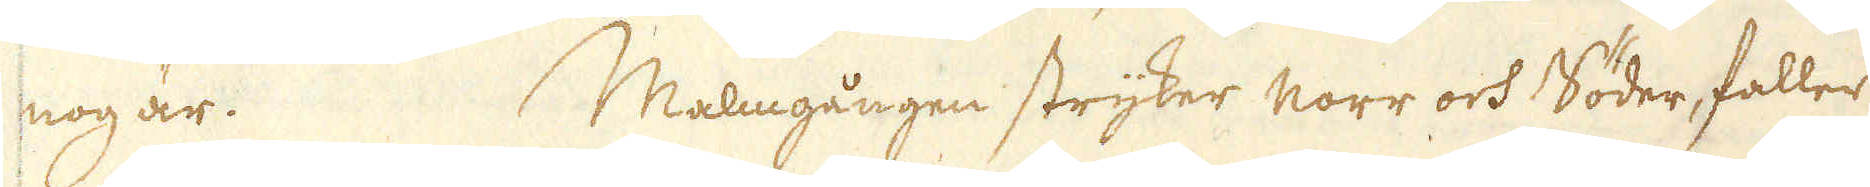nog är. Malmgången stryker norr och Söder, faller
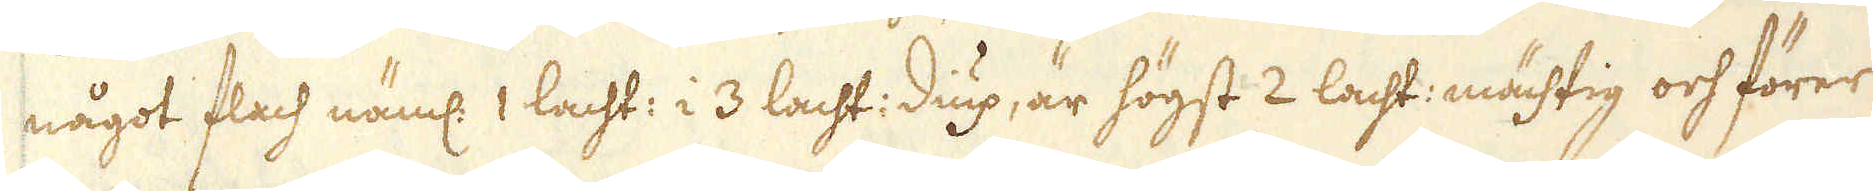något flach näml: 1 lacht: i 3 lacht: diup, är högst 2 lacht: mächtig och förer
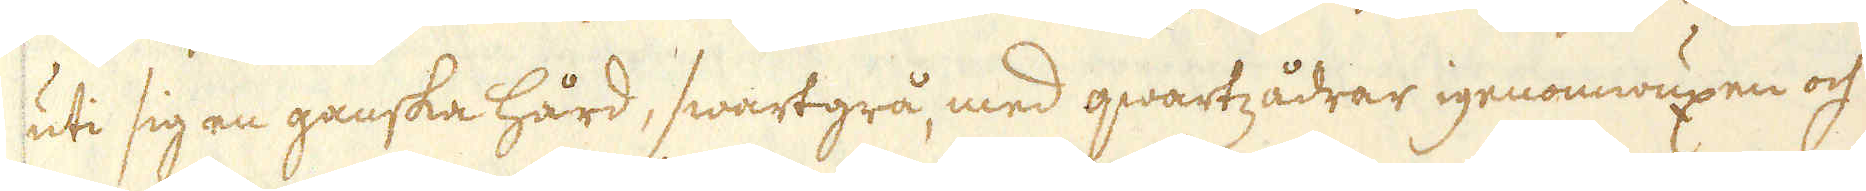uti sig en ganska hård, swartgrå, med qwartzådrar igenomwuxen och
